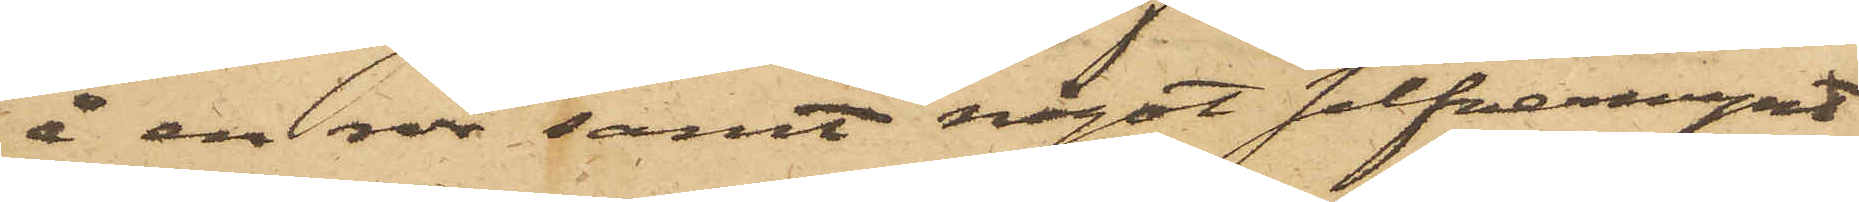å en rdr samt något silfvermynt
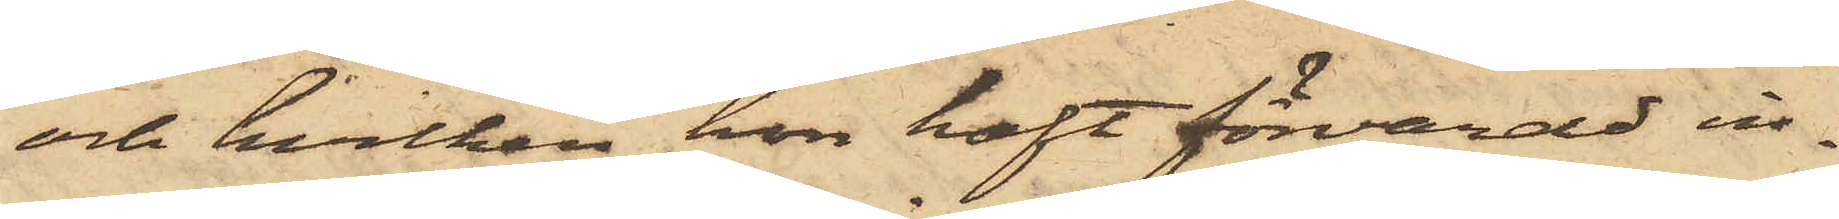och hvilken hon haft förvarad in¬
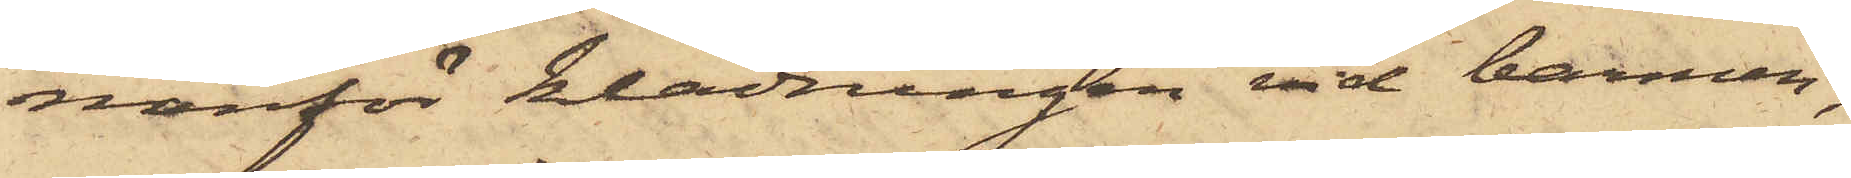nanför klädningen vid barmen,
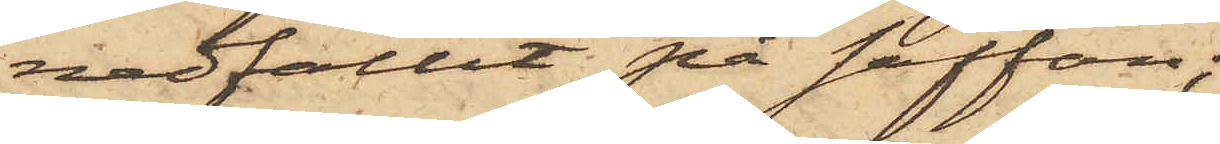nedfallit på soffan;
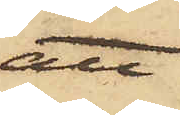att
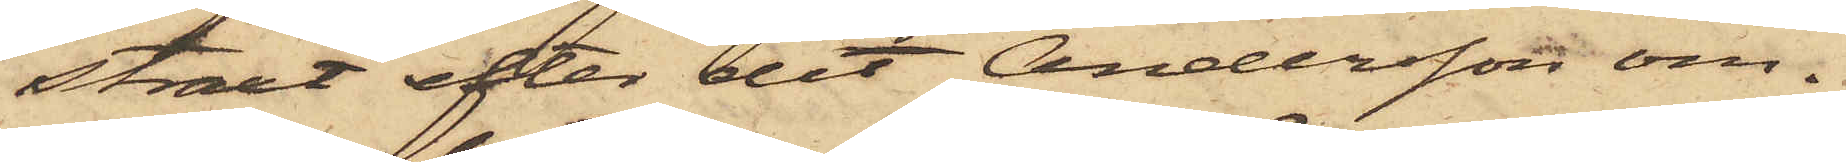straxt efter det Andersson om¬
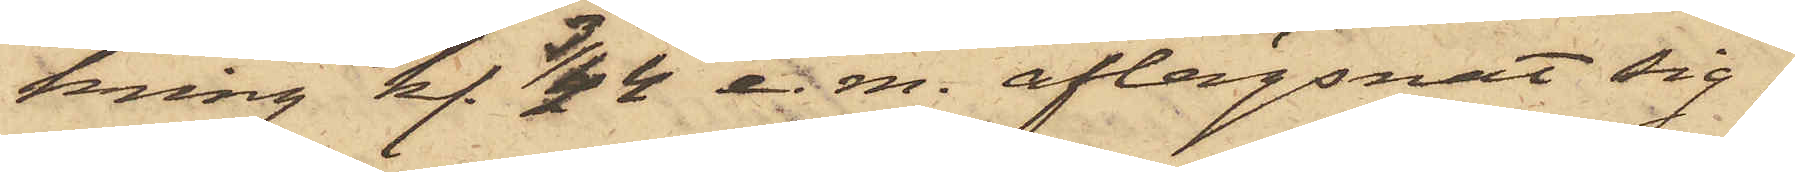kring kl 3/4 4 e.m. aflägsnat sig,
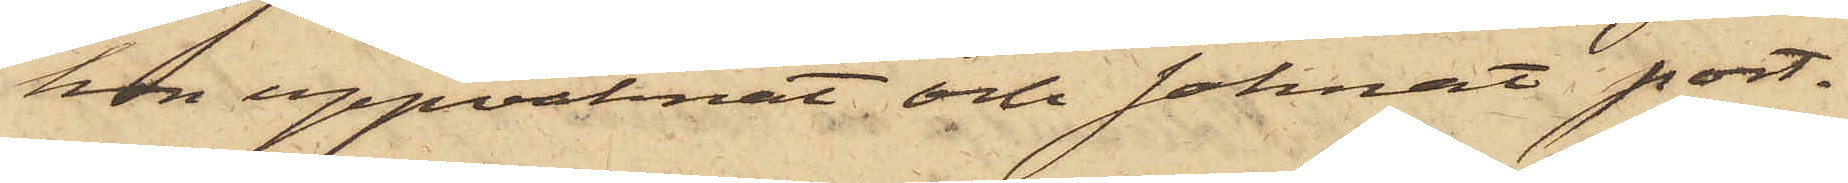hon uppvaknat och saknat port¬
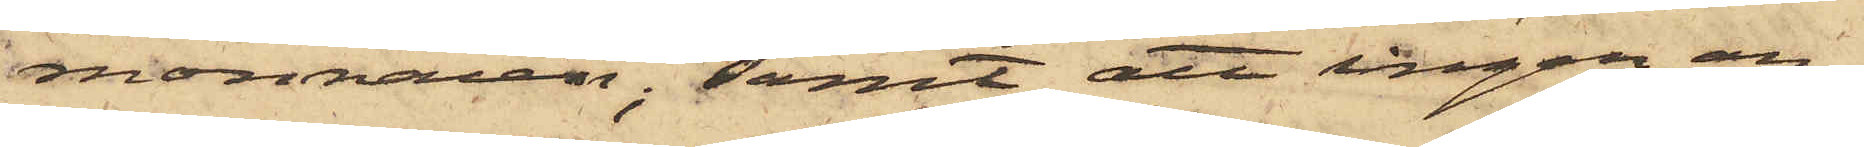monnaien; samt att ingen an¬
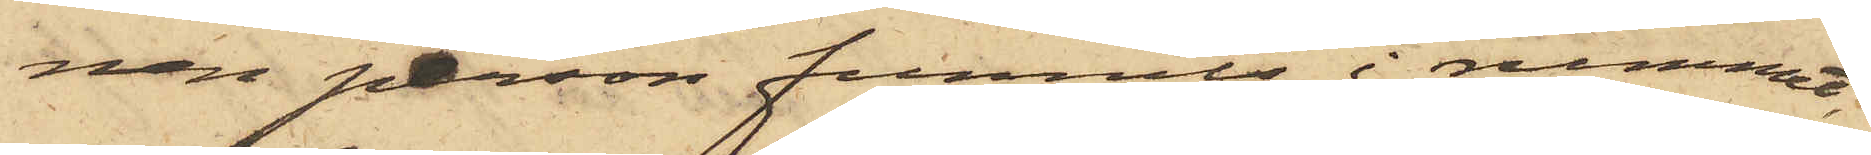nan person funnits i rummet,
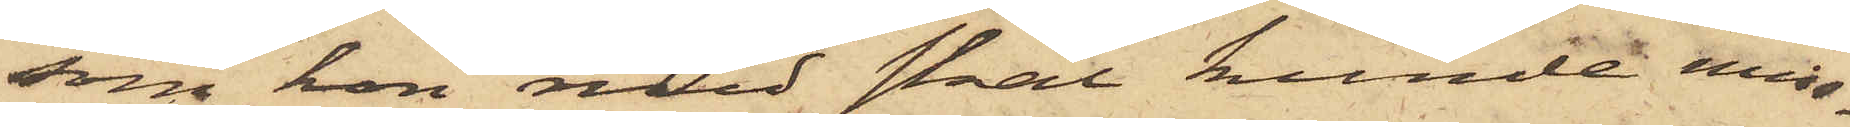som hon med skäl kunde miss¬
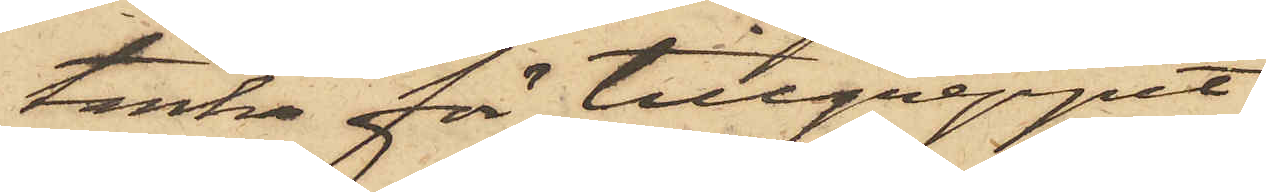tänka för tillgreppet.
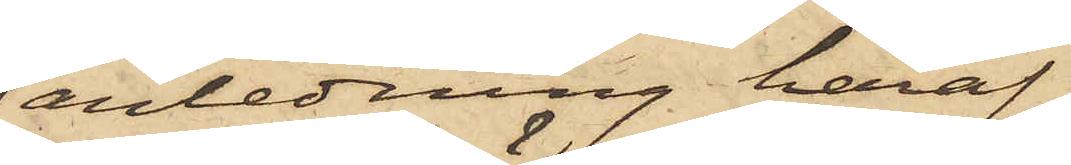I anledning häraf
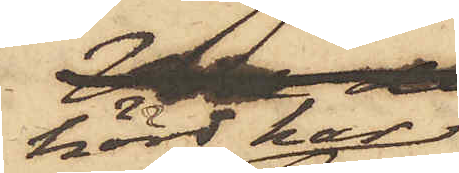hörd har
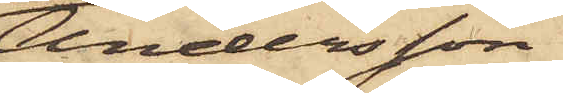Andersson
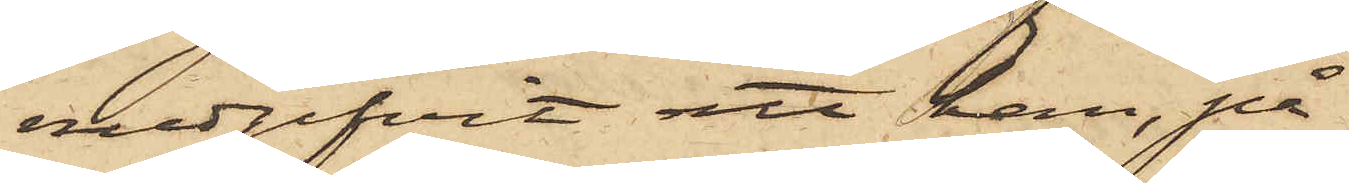medgifvit att han, på
